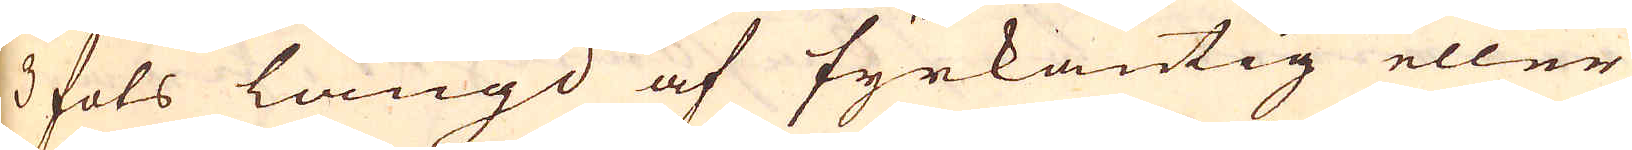3 fots längd af fyrkantig eller
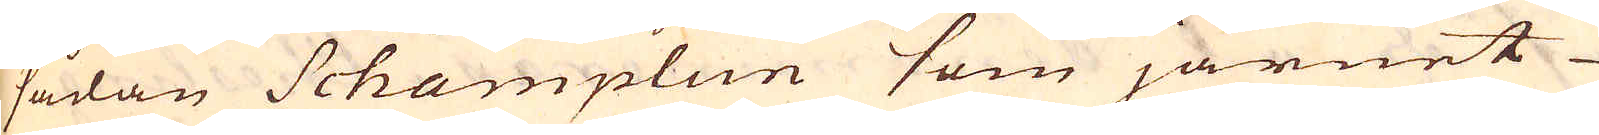sådan Schamplun som järnet
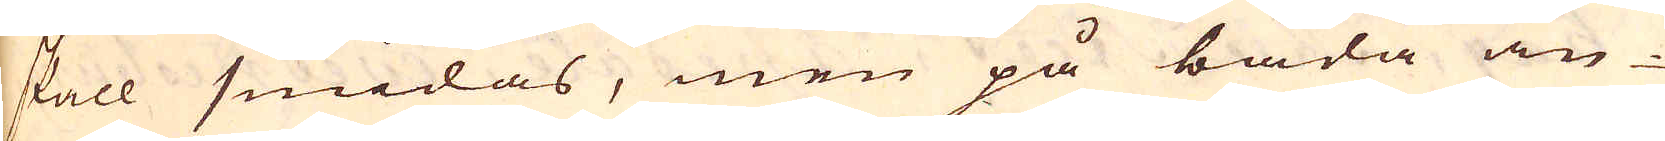skall smidas, men på båda än-
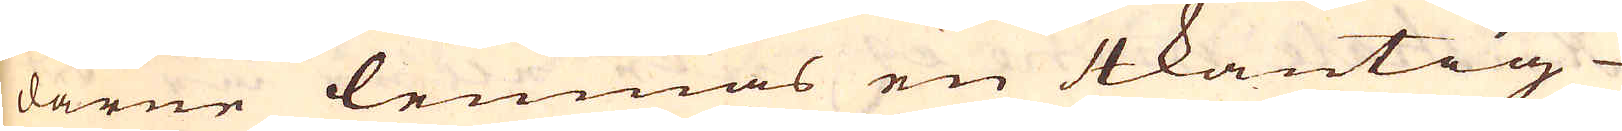darne lemnas en 4kantig
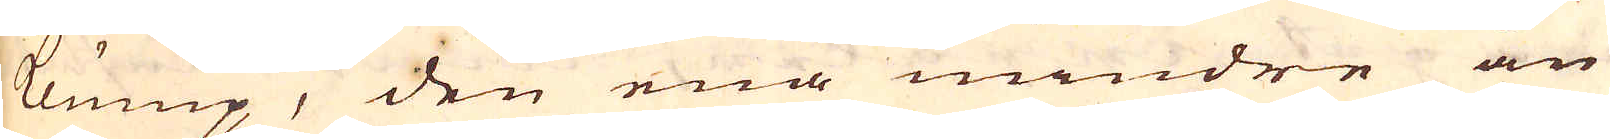klump, den ena mindre än
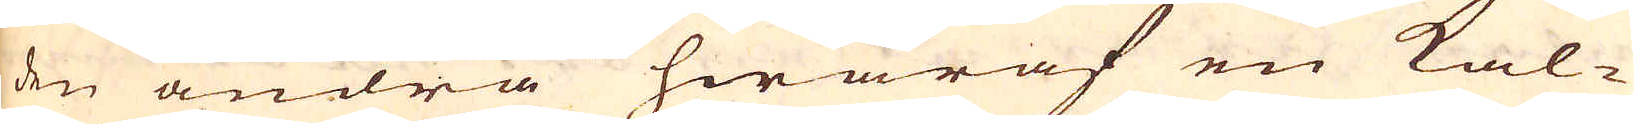den andra hwaraf en kal-
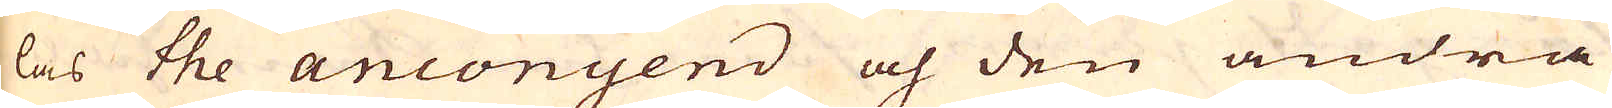las the anconyend och den andra
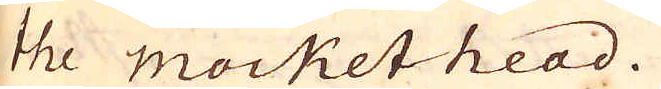the mockethead.
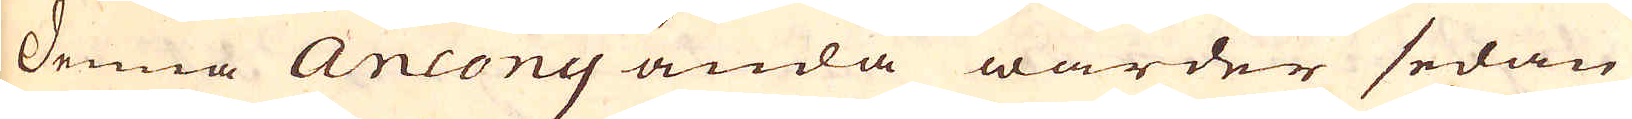Denna Ancony ända warder sedan
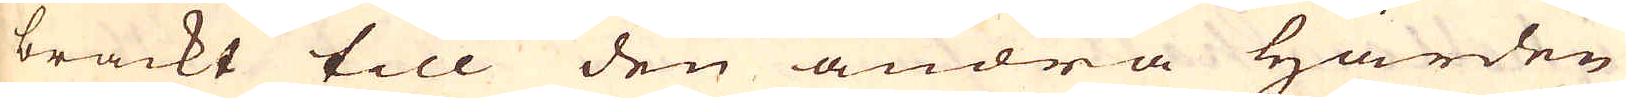brackt till den andra härden
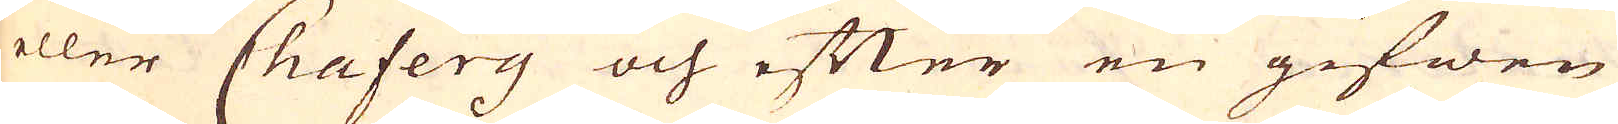eller Chafery och efter en gifwen
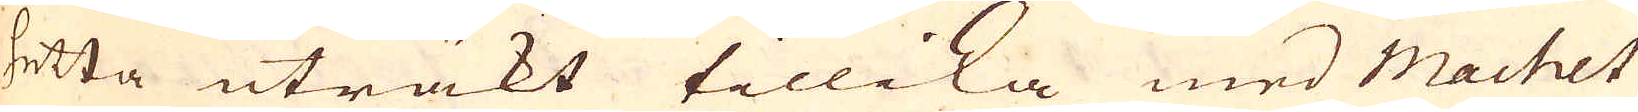hetta uträkt tillika med Machet
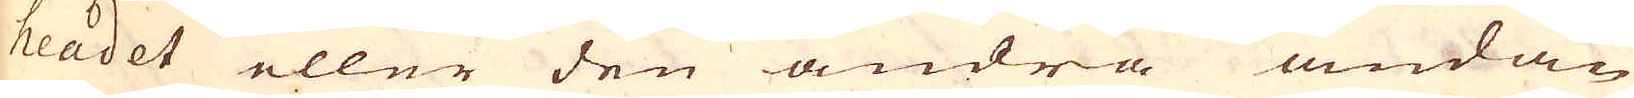headet eller den andra ändan
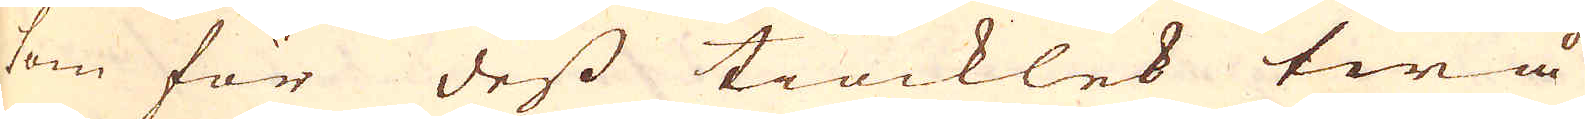som för dess tiocklek twå
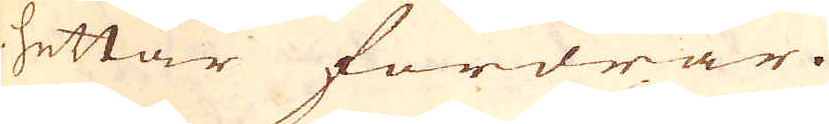hettar fordrar.
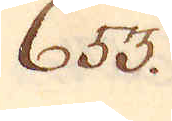653.
